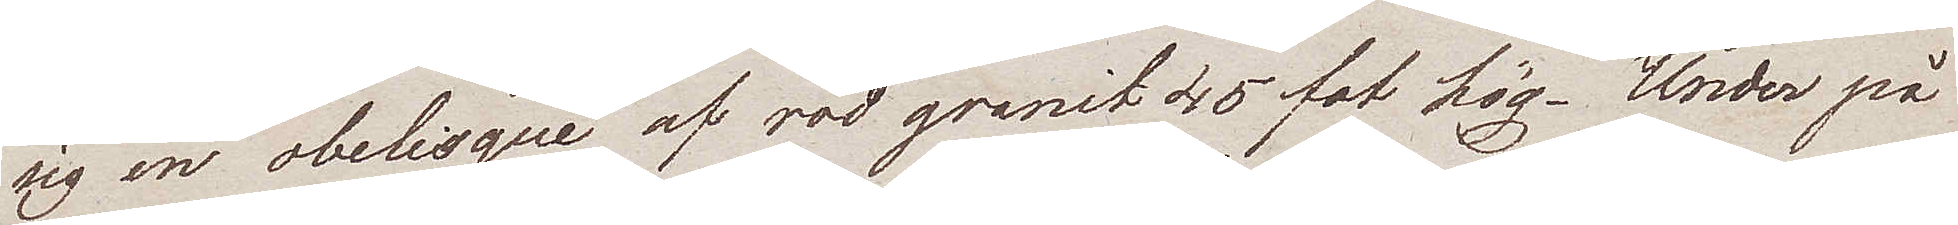sig en obelisque af röd granit 45 fot hög. Under på
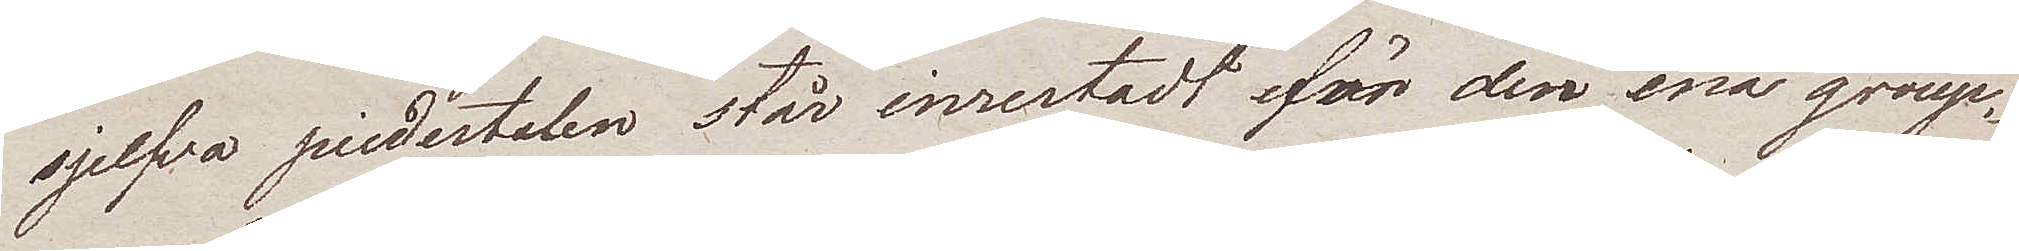sjelfva piedestalen står inrestadt för den ena group¬
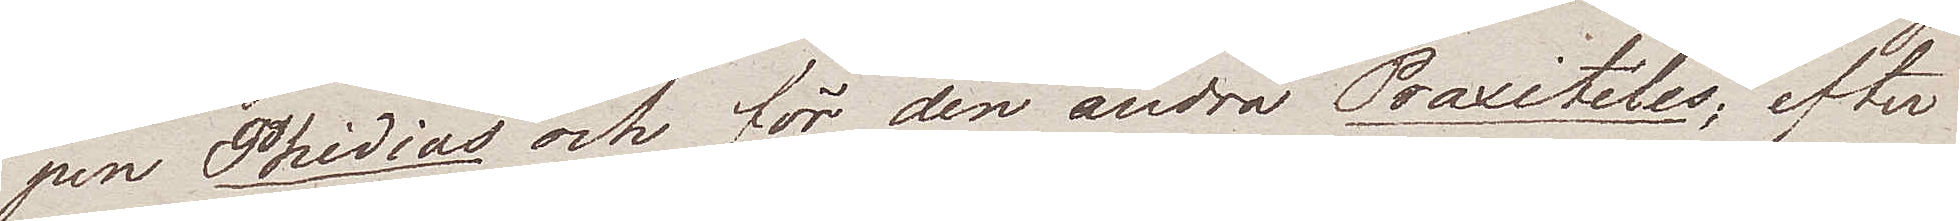pen Phidias och för den andra Praxiteles; efter
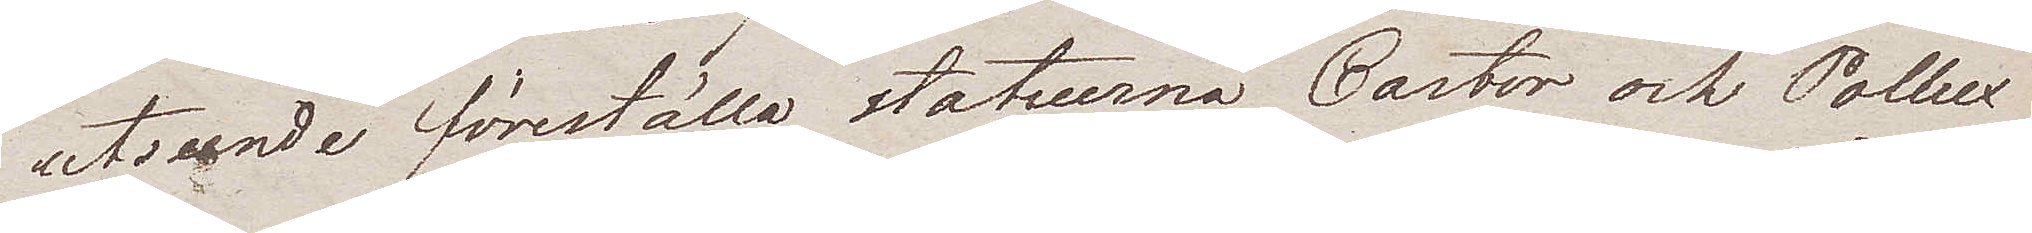utseende föreställa statuerna Castor och Pollux
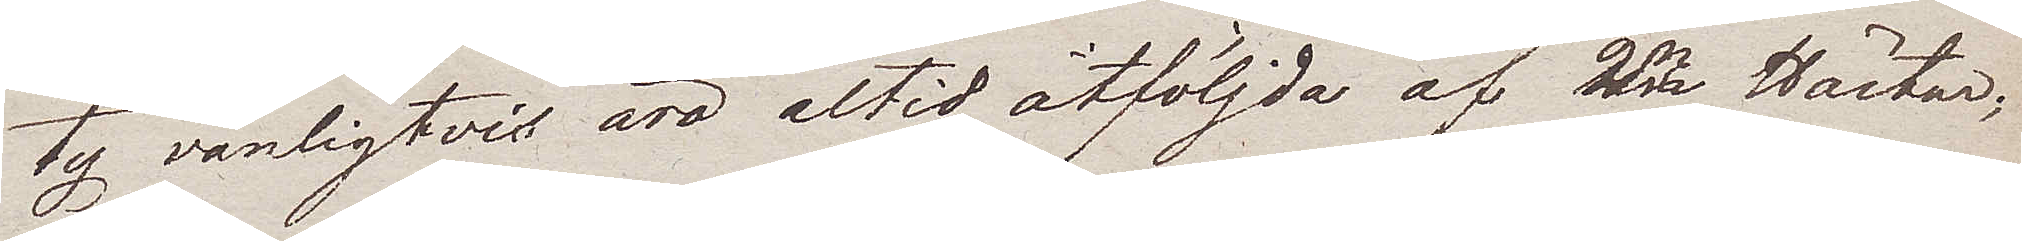ty vanligtvis äro altid åtföljda af 2ne Hästar.
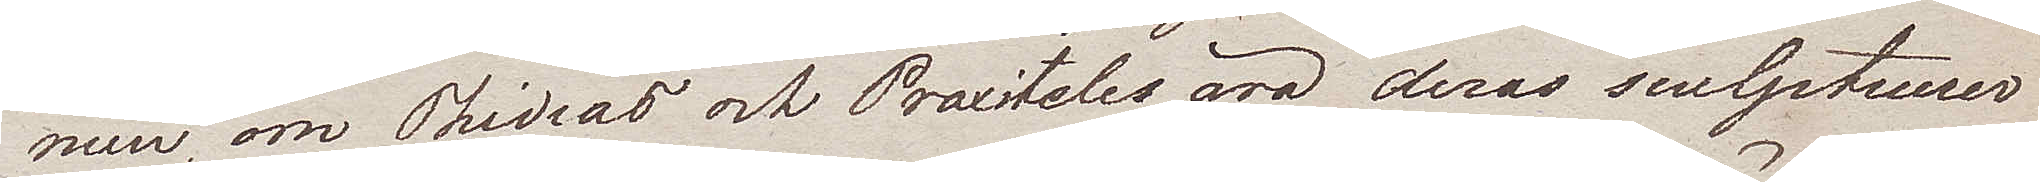men om Phidias och Praxiteles äro deras sculptuuer
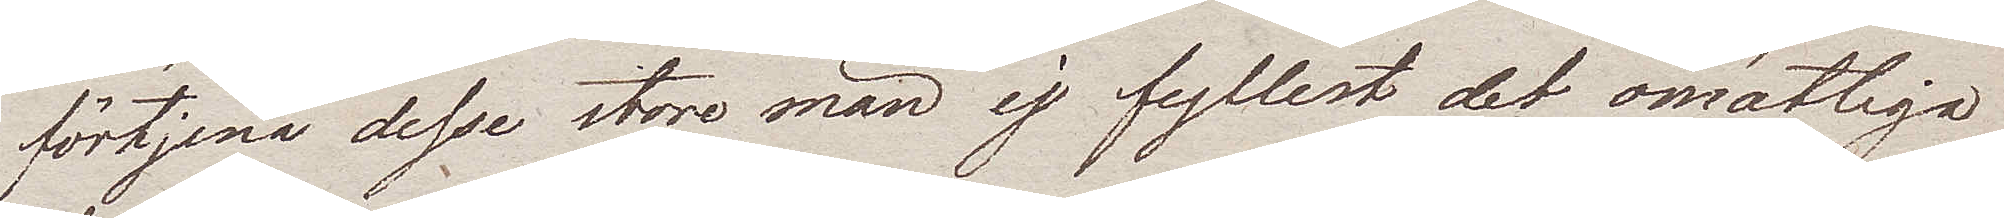förtjena desse store män ej fyllest det omätliga
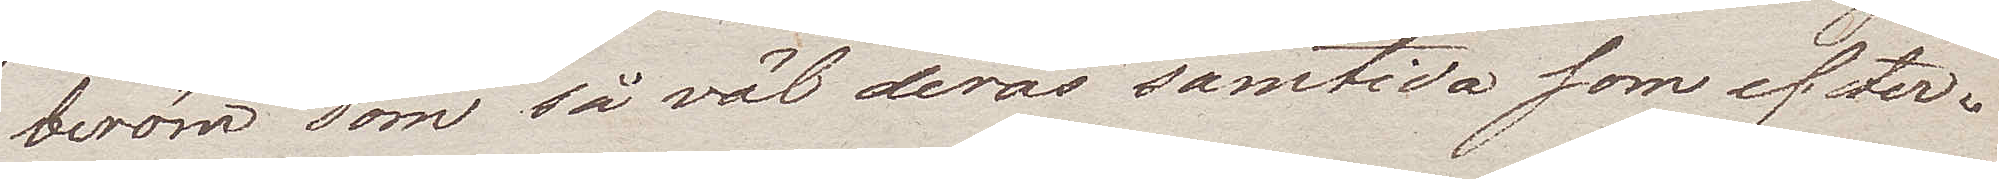beröm som så väl deras samtida som efter¬
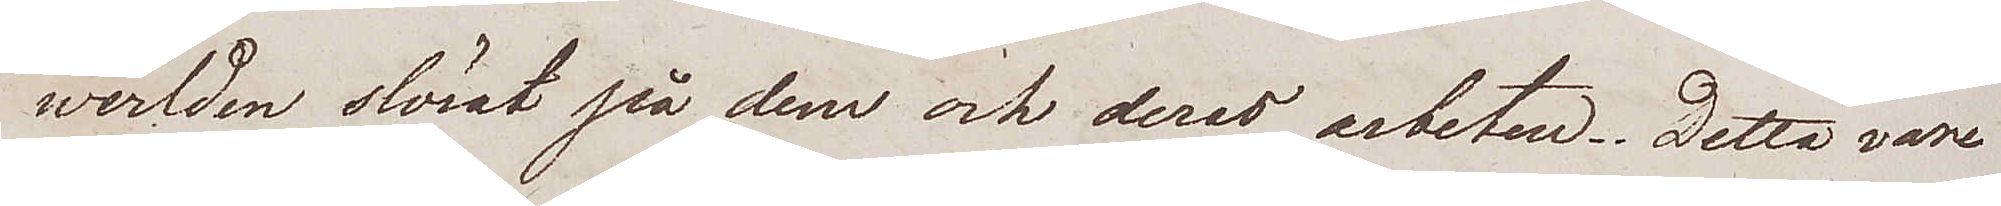werlden slösat på dem och deras arbeten. Detta vare
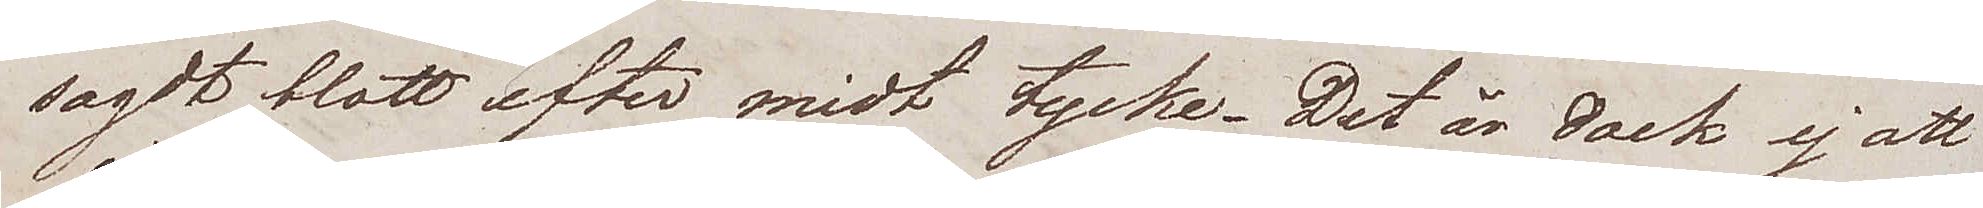sagdt blott efter midt tycke. Det är dock ej att
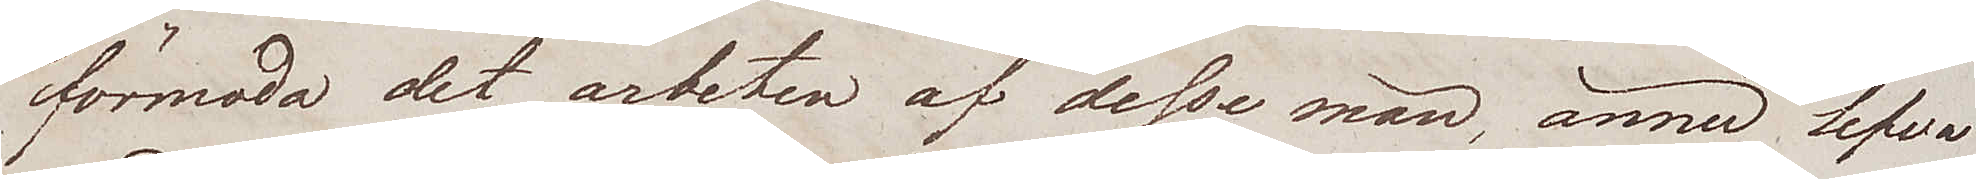förmoda det arbeten af desse män, ännu lefva
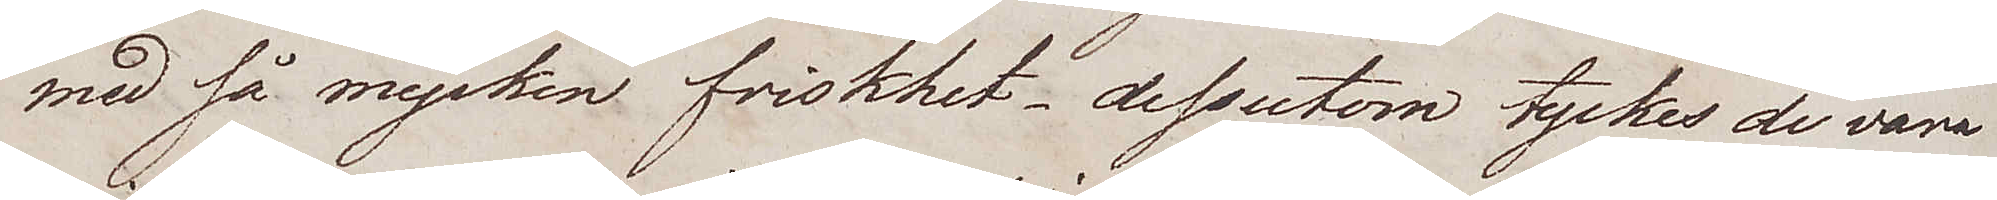med så mycket friskhet – dessutom tyckes de vara
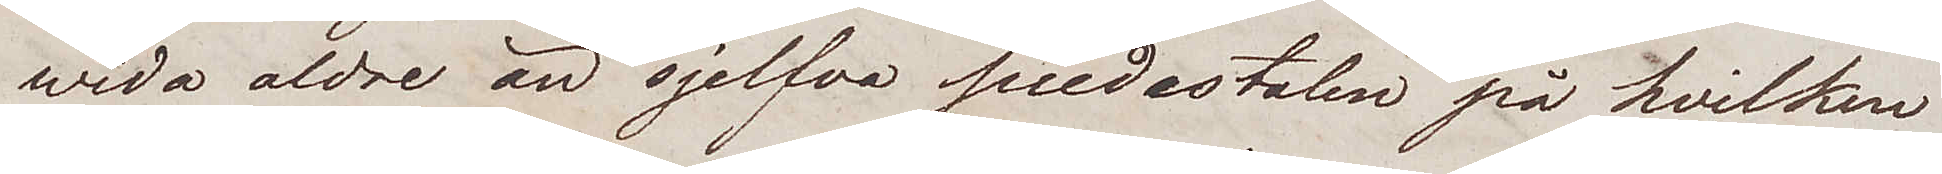wida aldre än sjelfva piedestalen på hvilken
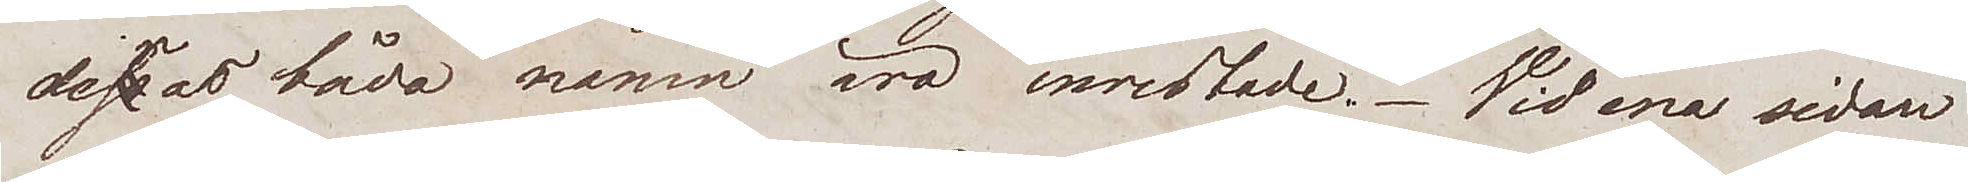dessas båda namn äro inristade. Vid ena sidan
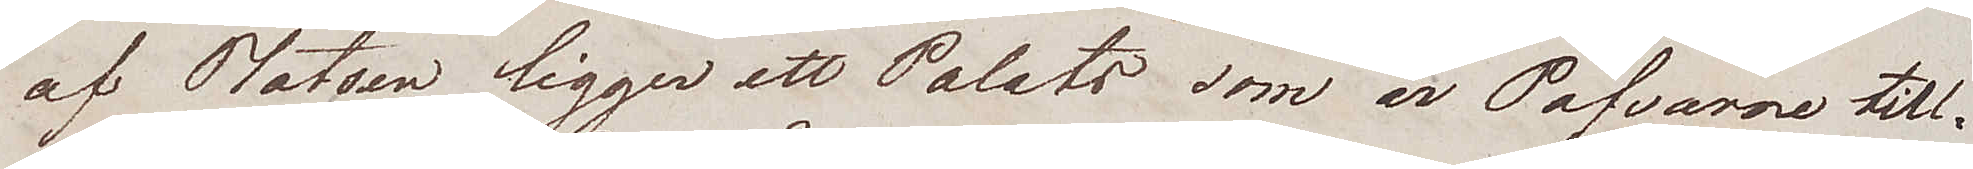af Platsen ligger ett Palats som är Påfvarne till¬
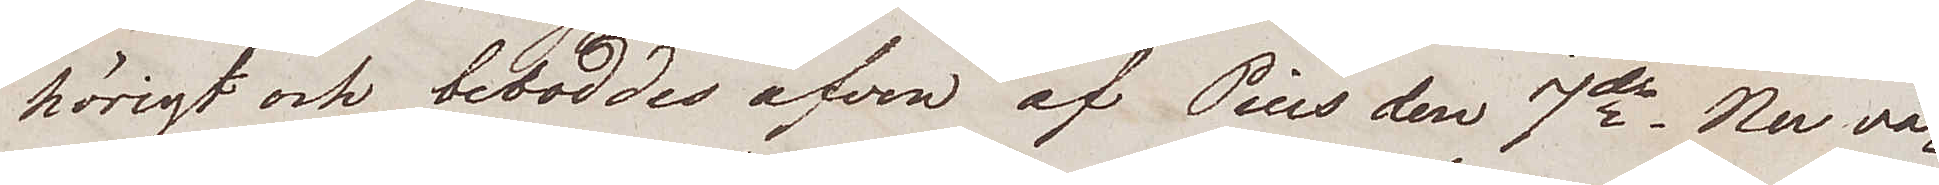hörigt och beboddes äfven af Pius den 7de. Nuva¬
